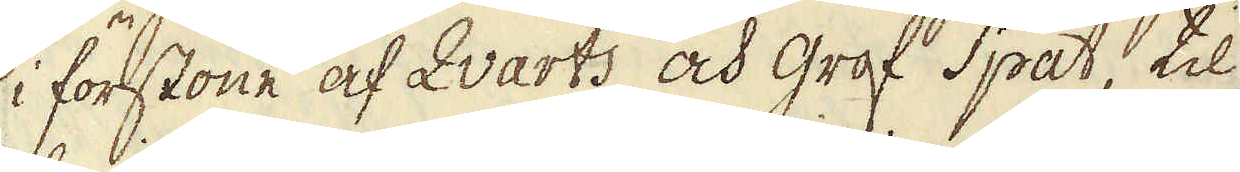i förstone af Qvarts och grof Spat, til
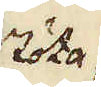stöta
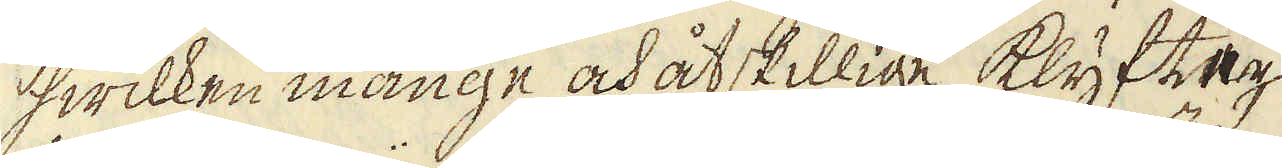hwilken månge och åtskillige klyfter,
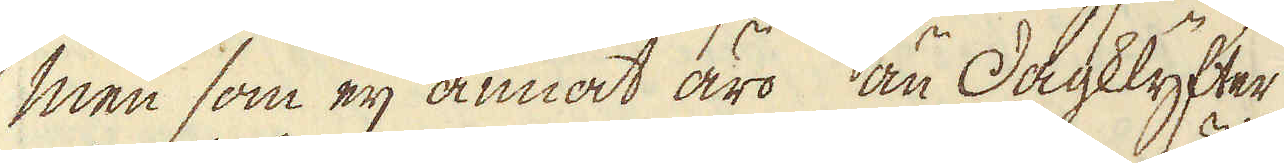men som eij annat äro än Dagklyfter
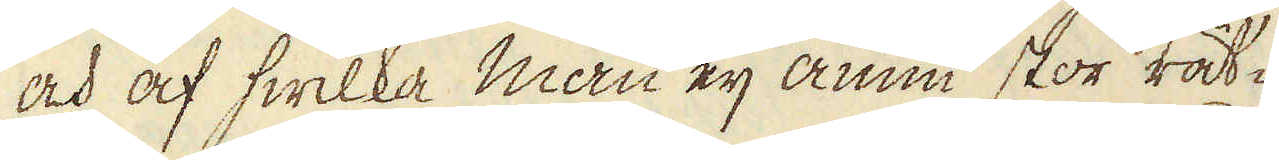och af hwilka man eij ännu stor rät-
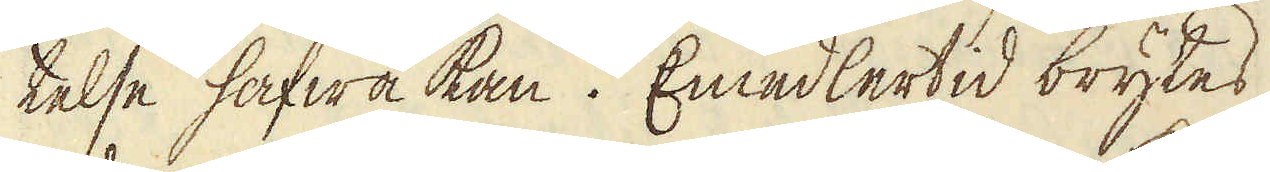telse hafwa kan. Emedlertid brytes
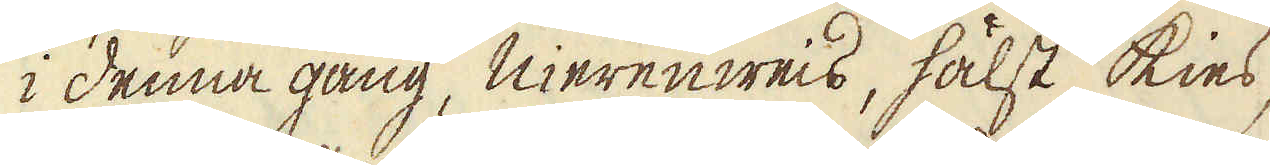i denna gång, nierenweis, hälst kies,
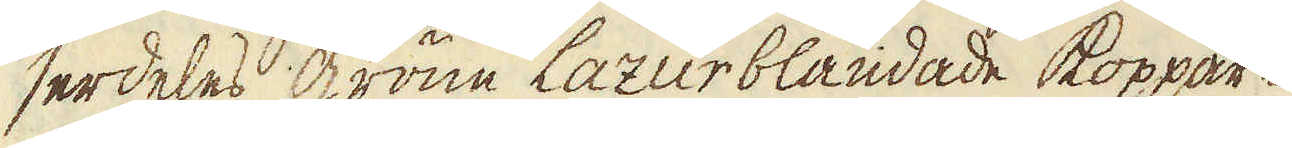serdeles gröne Lazurblandade koppar-
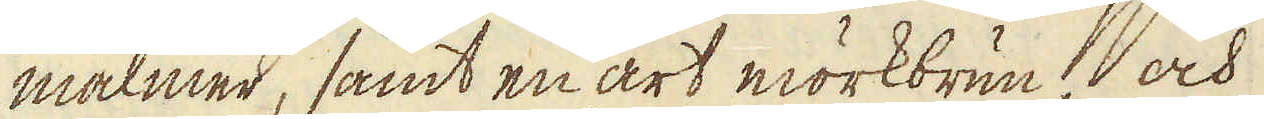malmer, samt en art mörkbrun och
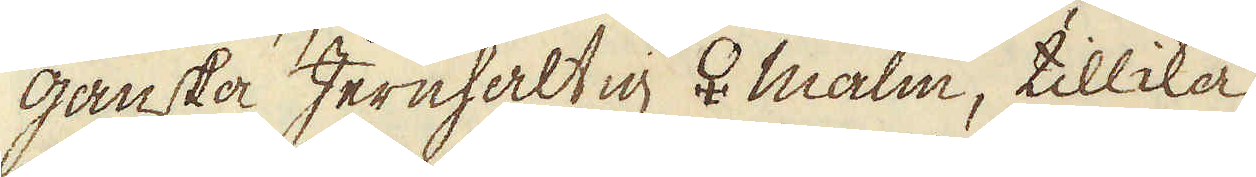ganska Jernhaltig ♀ malm, tillika
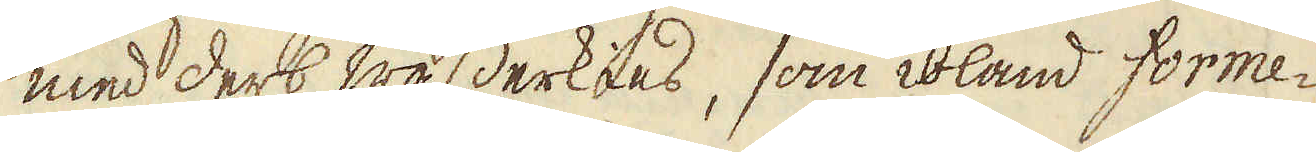med derb wasserkies, som ibland forme-
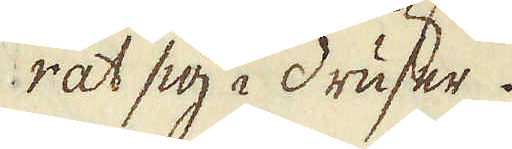rat sig i druser.
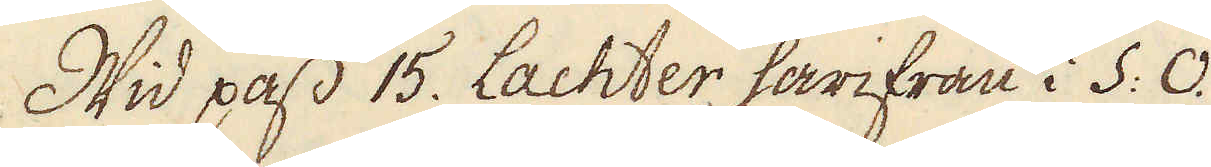Wid pass 15. Lachter härifrån i S: O.
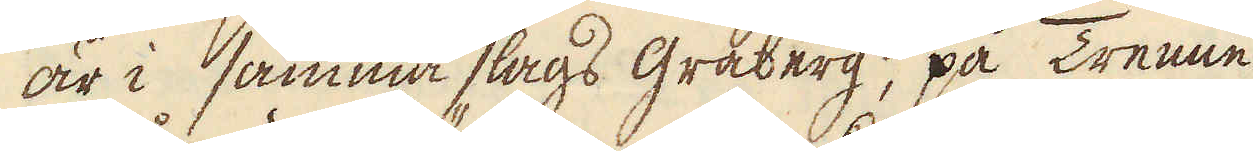är i samma slags gråberg, på Trenne
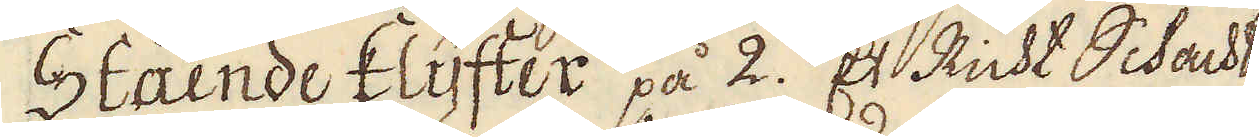Stående klyfter på 2. Et Richt Schacht
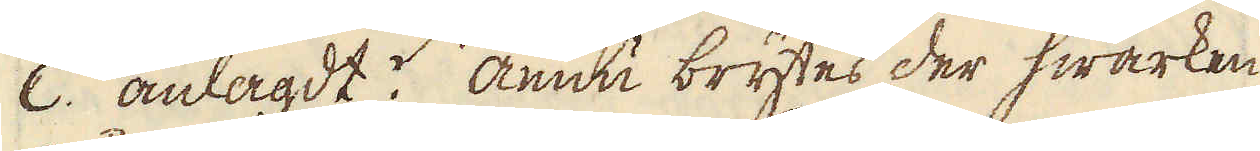C. anlagdt. Ännu brytes der hwarken
